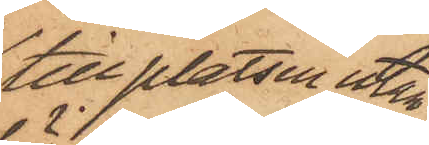till platsen utan¬
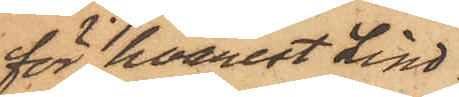för, hvarest Lind¬
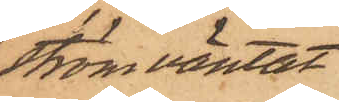ström väntat,
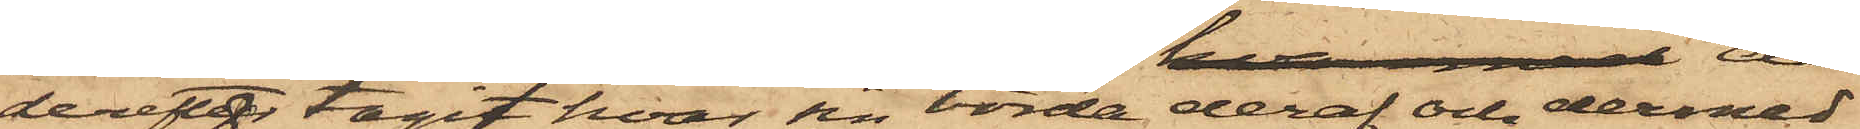derefter tagit hvar sin börda deraf och dermed
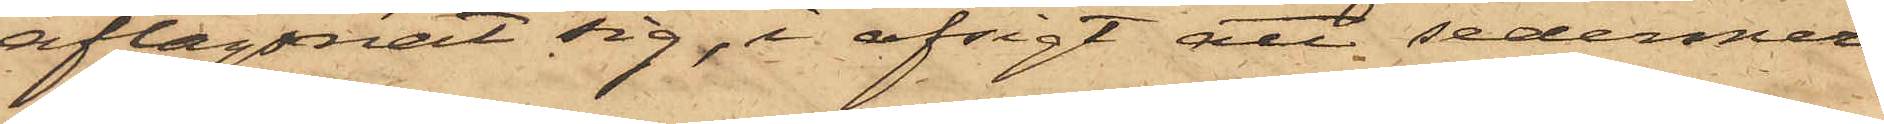aflägsnat sig, i afsigt att sedermera
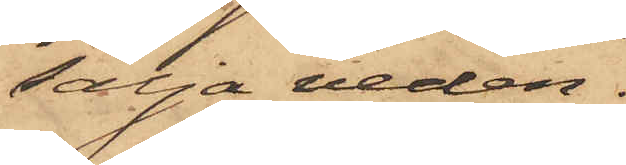sälja veden.
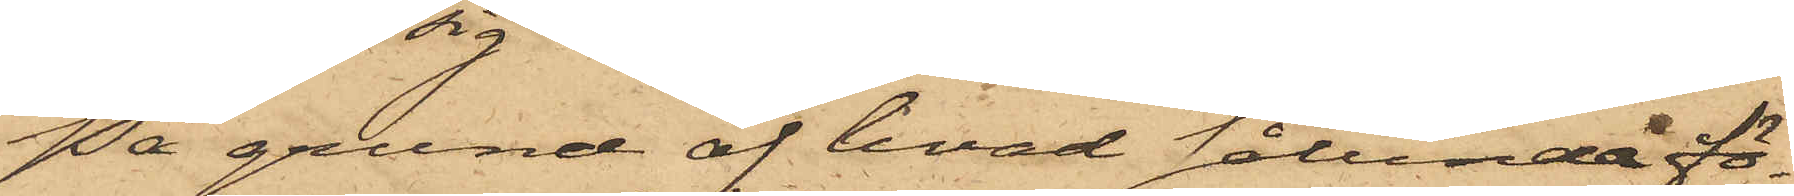På grund af hvad sålunda fö¬
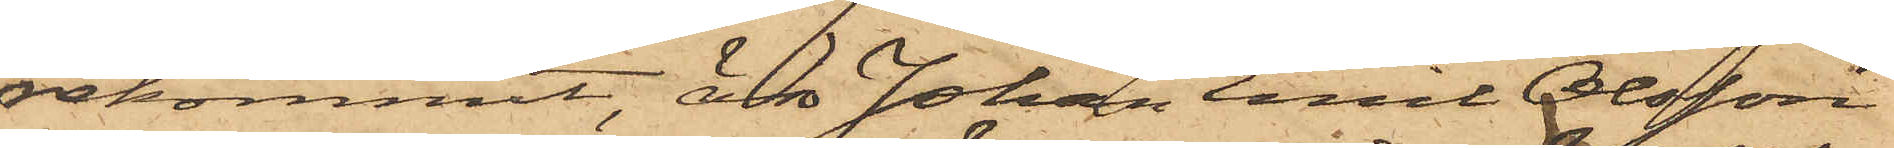rekommit, är Johan Emil Olsson
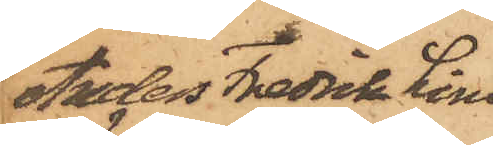Anders Fredrik Lind¬
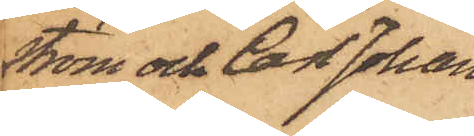ström och Carl Johan
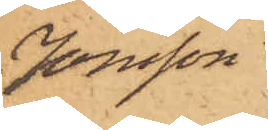Jonsson
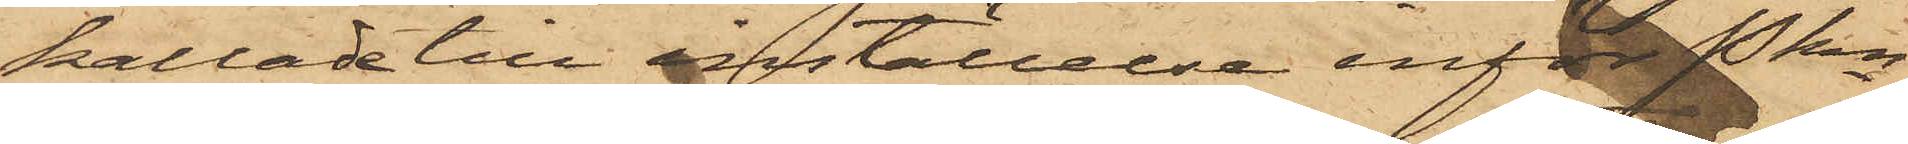kallade till inställelse inför Pkn
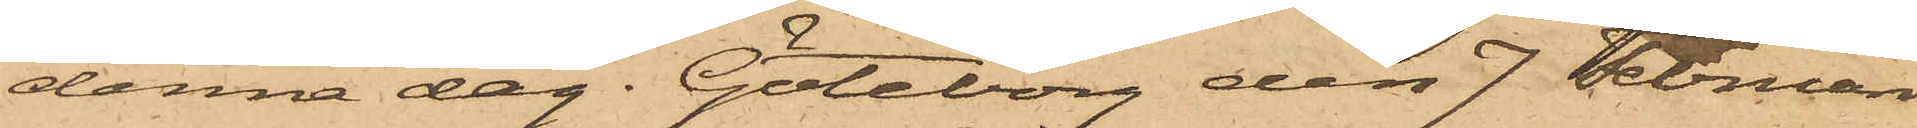denna dag. Göteborg den 7 Februari
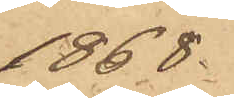1868.
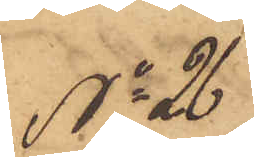No 26
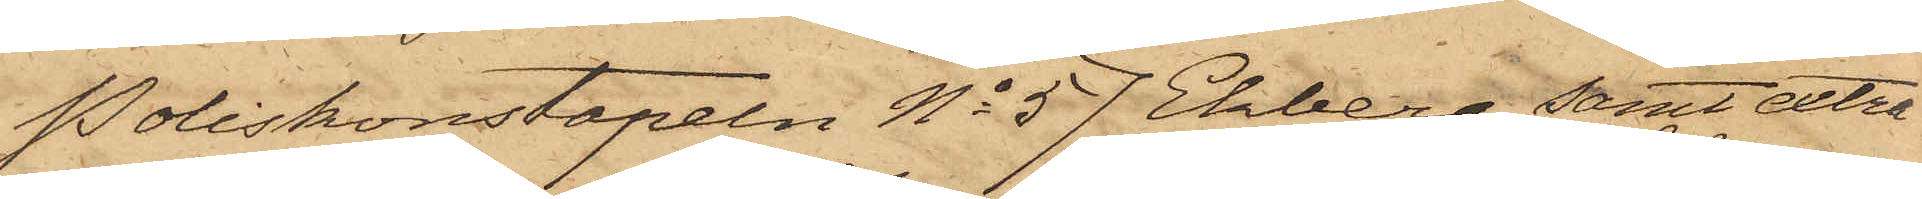Poliskonstapeln No 57 Ekberg, samt extra
